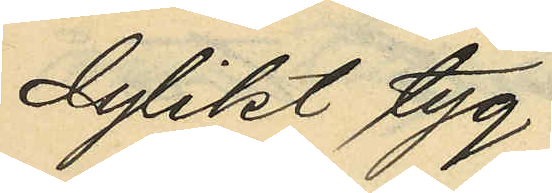dylikt tyg
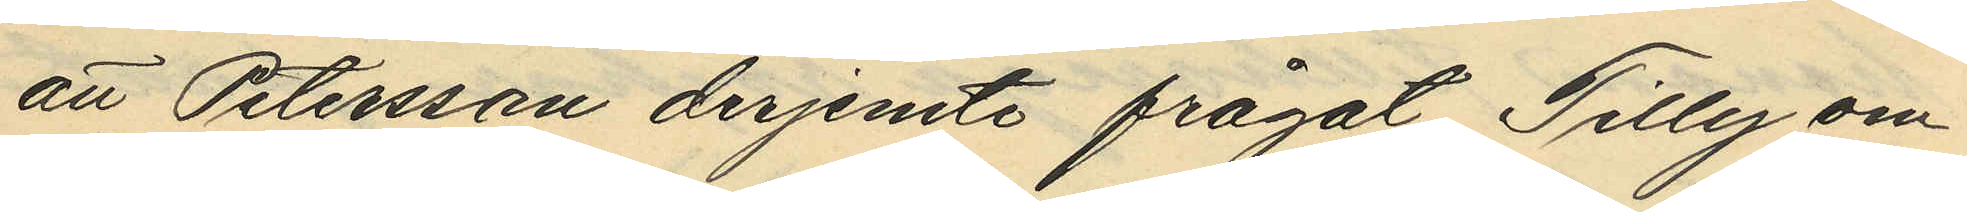att Petersson derjemte frågat Tilly om
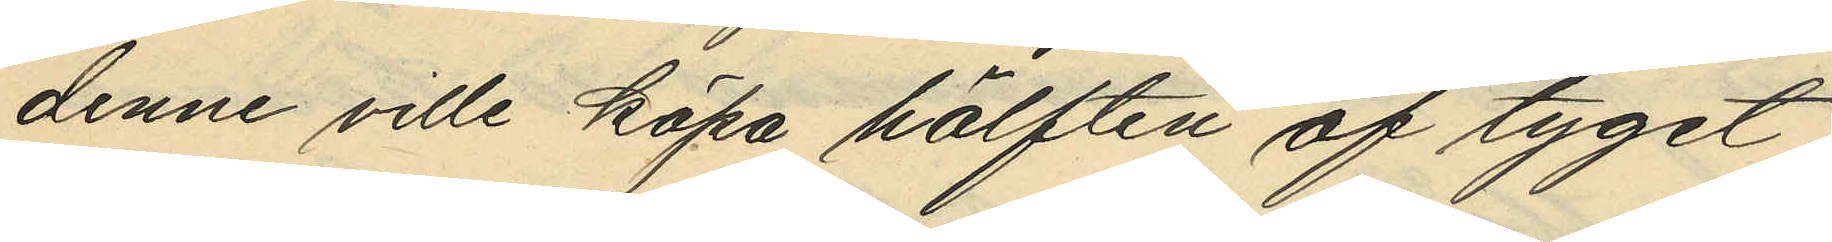denne ville köpa hälften af tyget
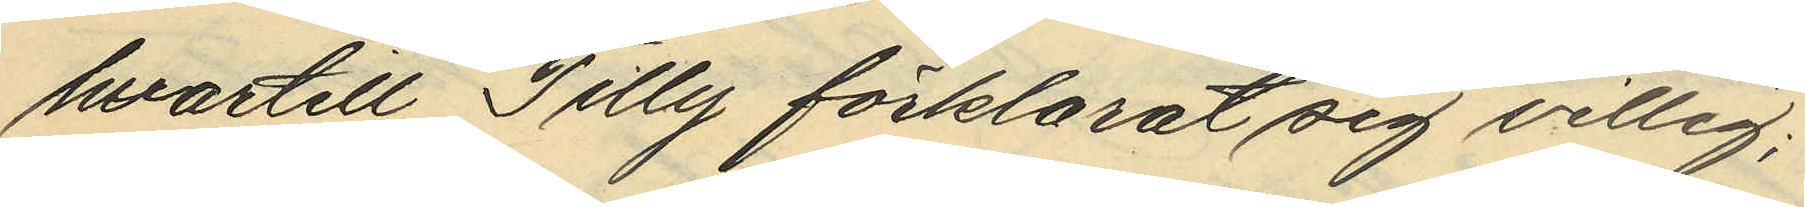hvartill Tilly förklarat sig villig;
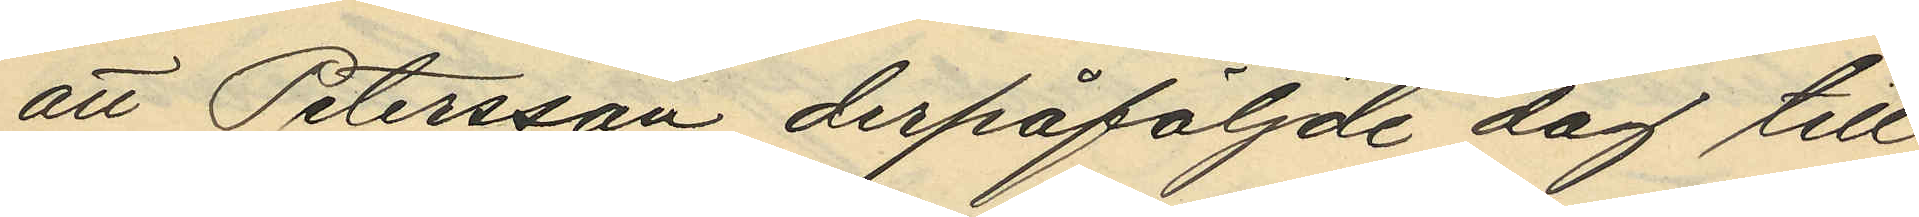att Petersson derpåföljande dag till
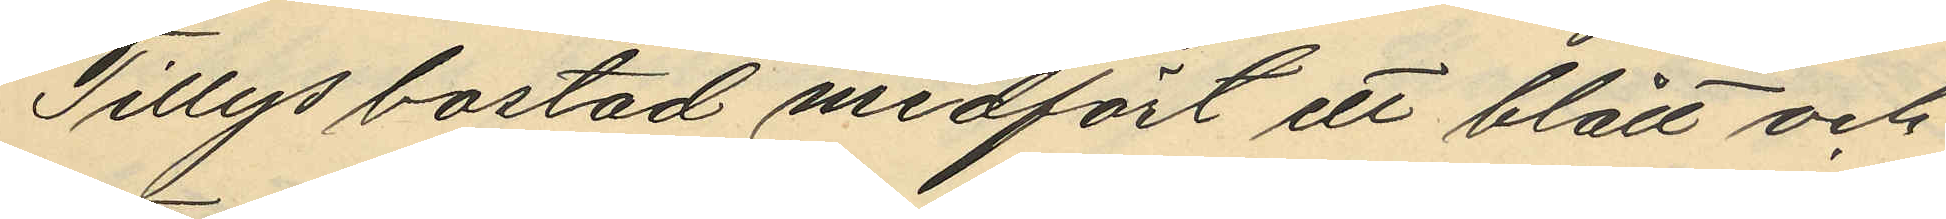Tillys bostad medfört ett blått och
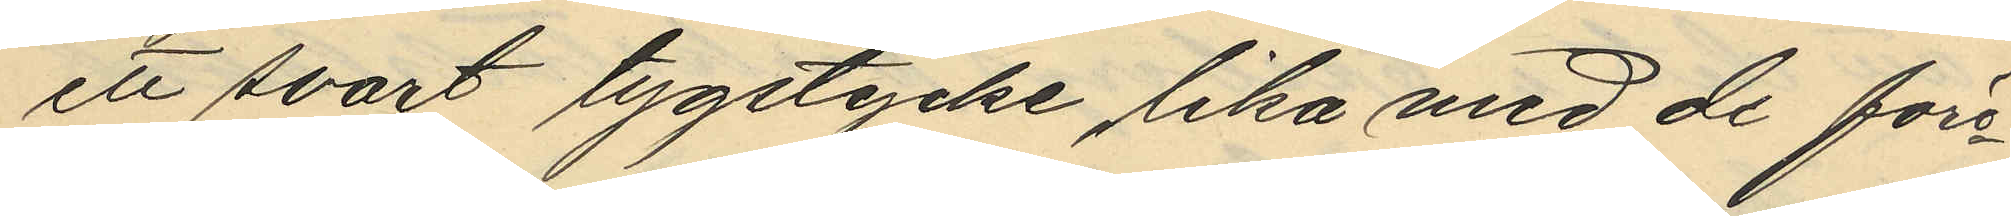et svart tygstycke lika med de före¬
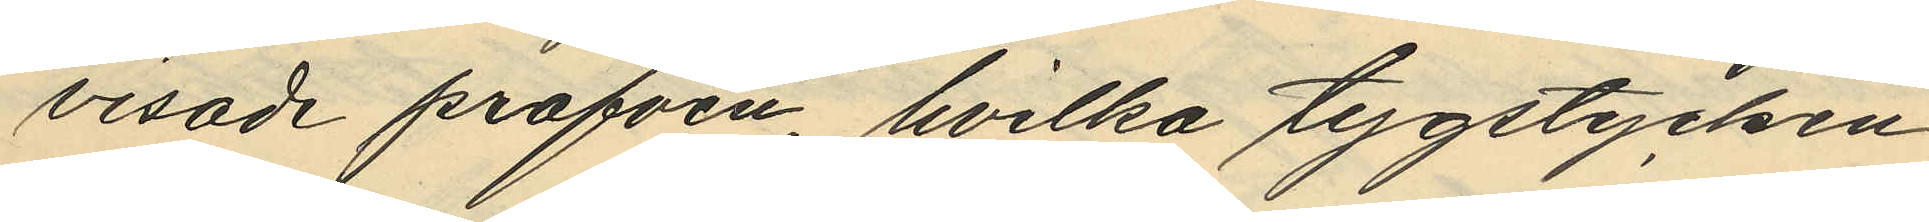visade profven, hvilka tygstycken
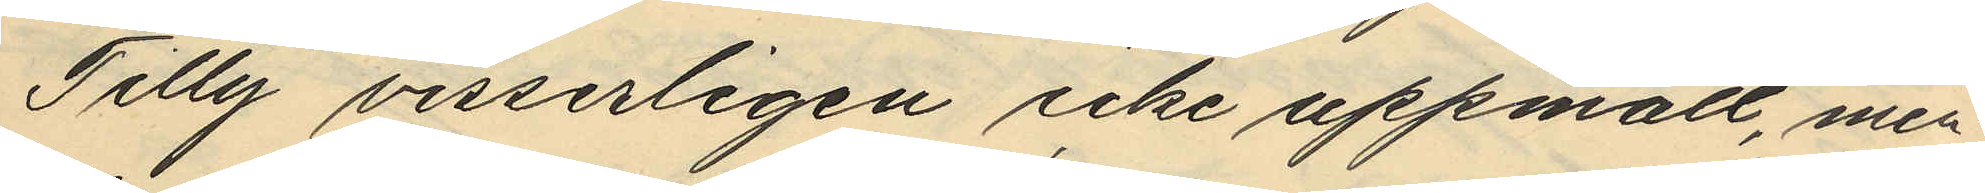Tilly visserligen icke uppmätt, men
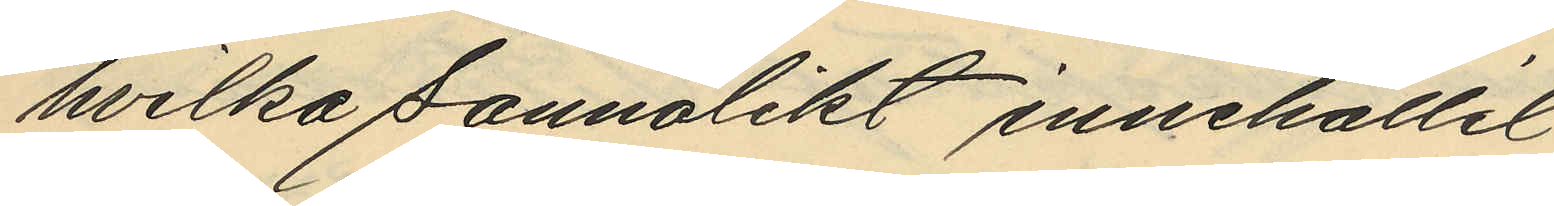hvilka sannolikt innehållit
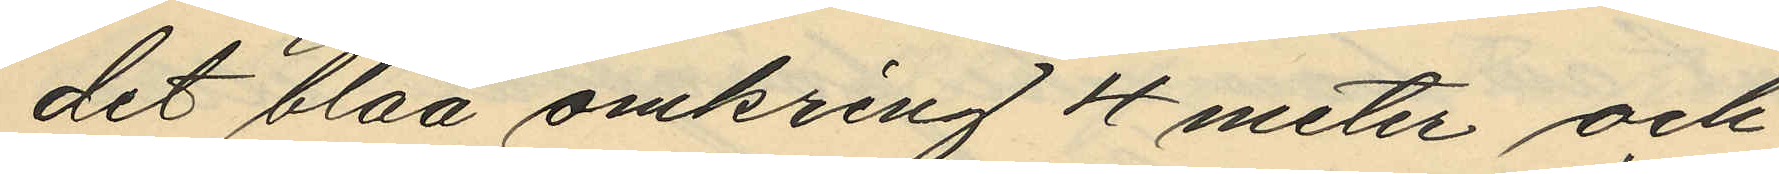det blåa omkring 4 meter och
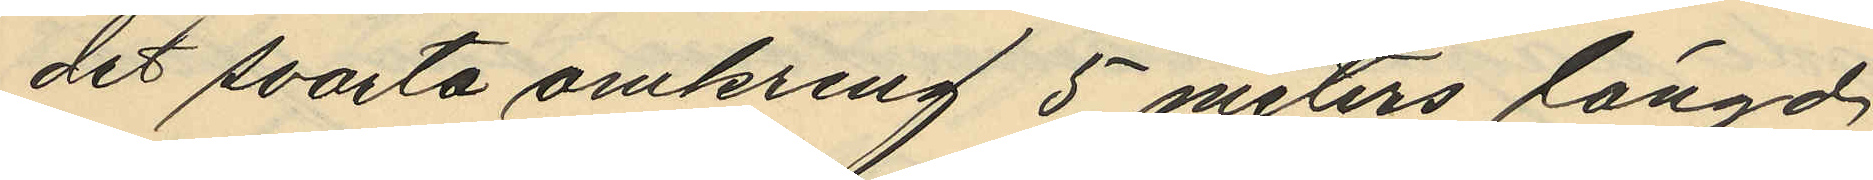det svarta omkring 5 meters längd
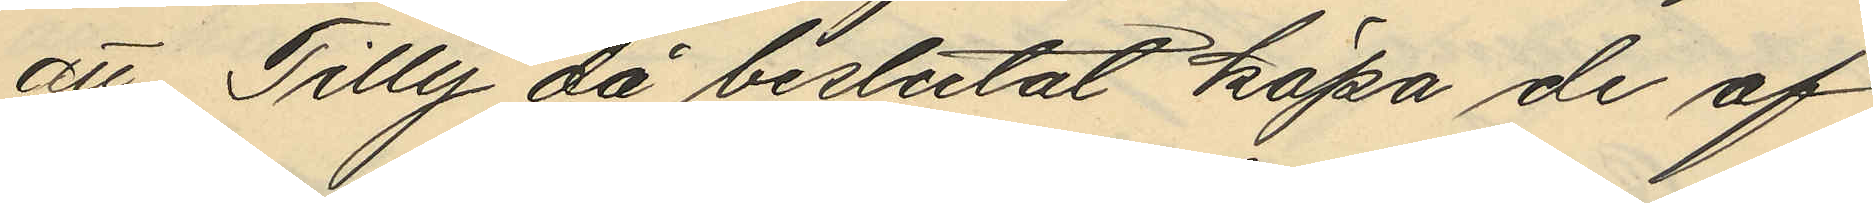att Tilly då beslutat köpa de af
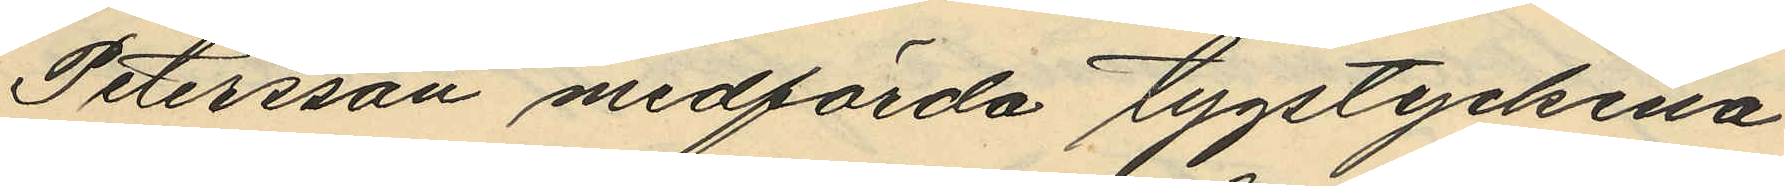Petersson medförda tygstyckena
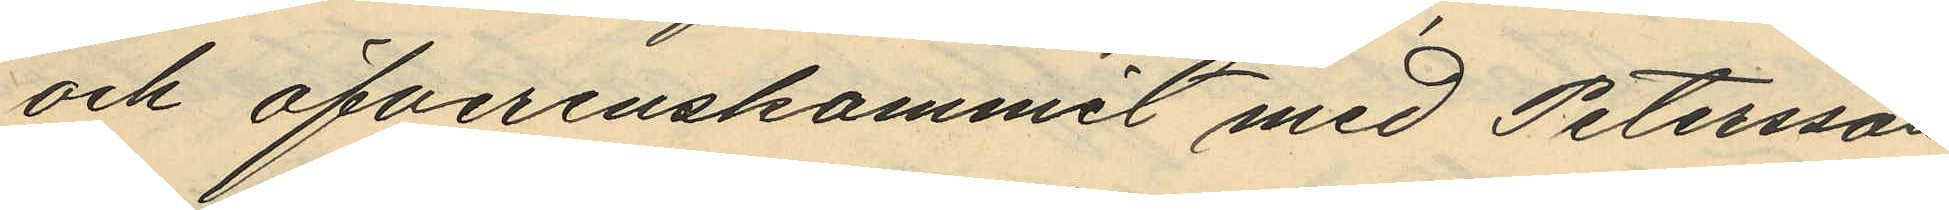och öfverenskommit med Petersson
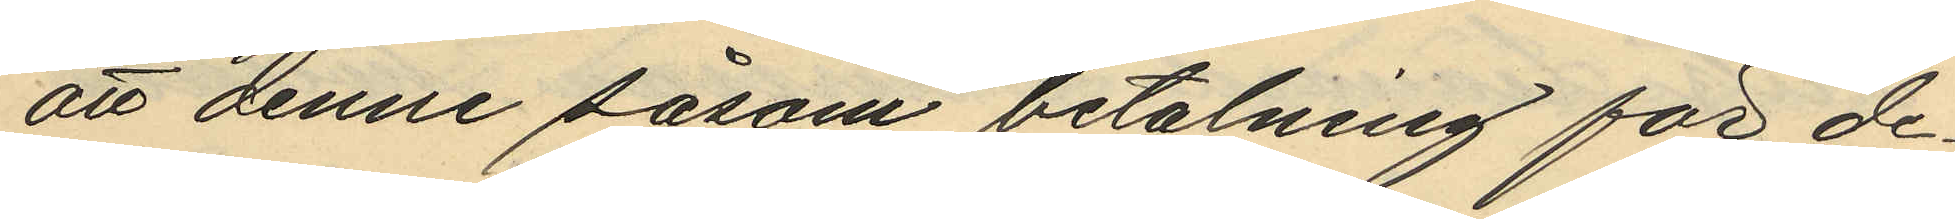att denne såsom betalning för de
